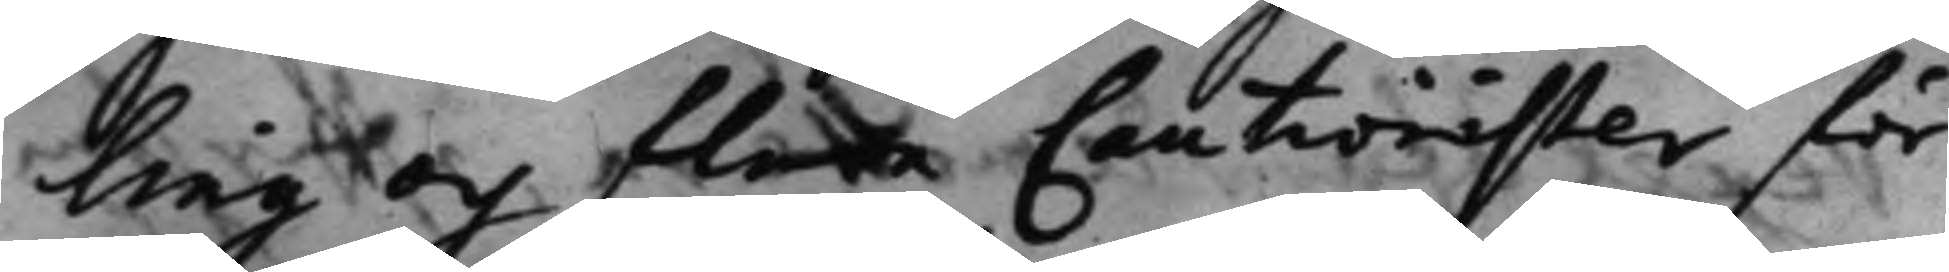ling och flera Cautionister för
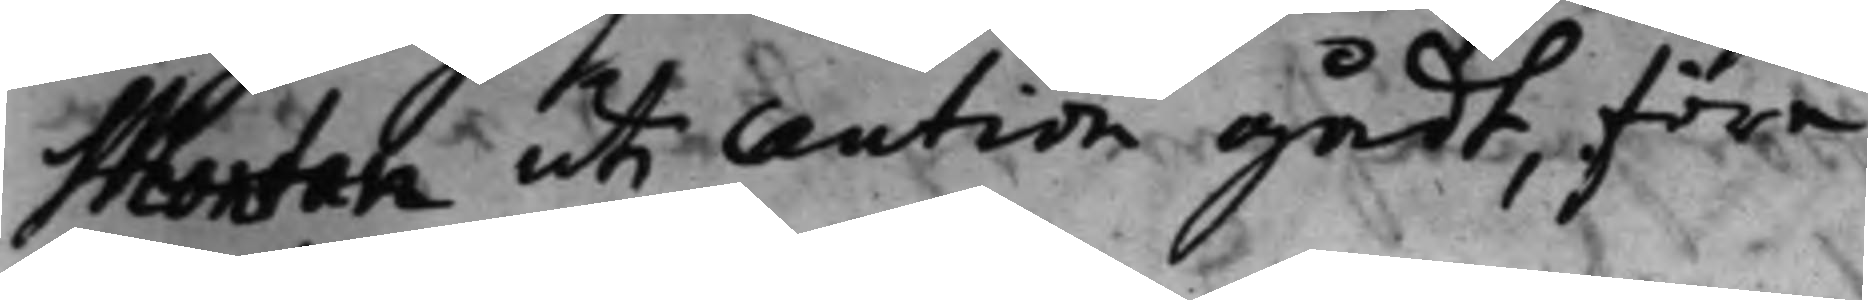Montan uti caution gådt, före¬
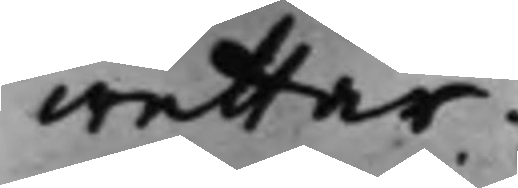wettar.
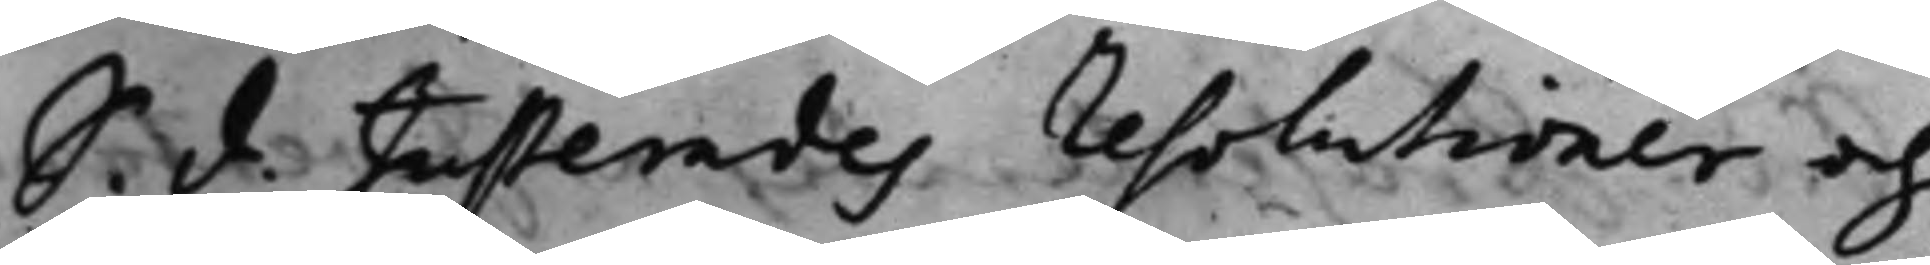S. d. Justerades resolutioner och
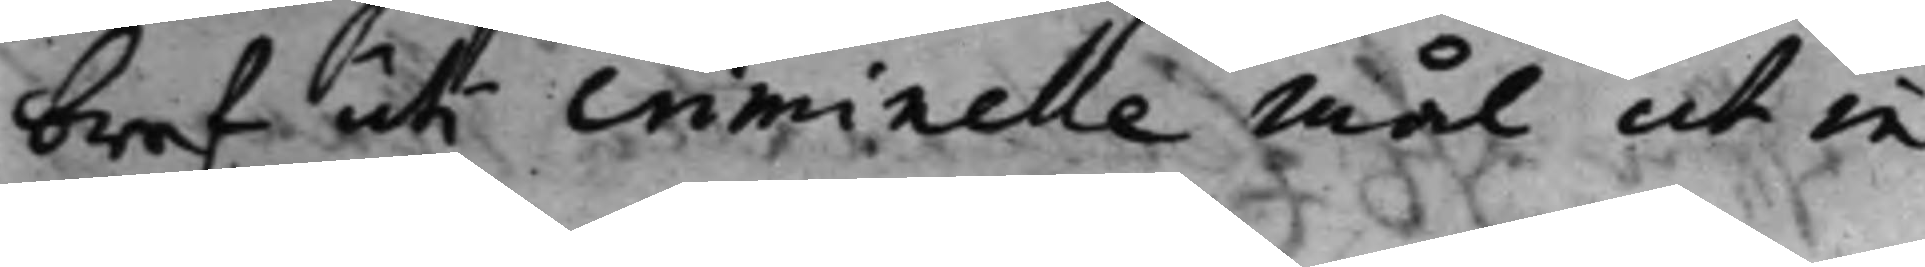bref uti criminelle Mål ut in
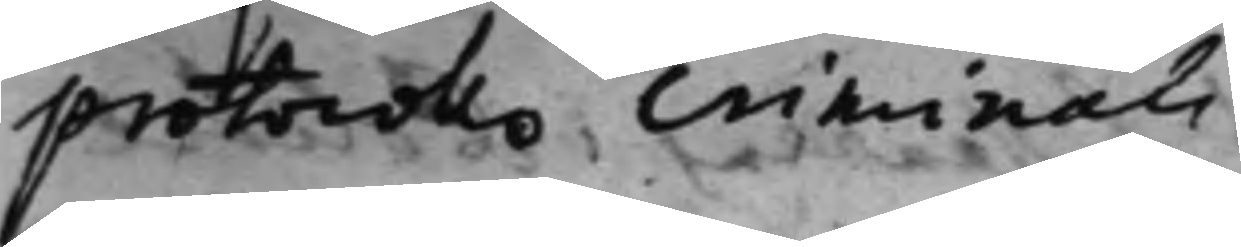protocollo Criminali.
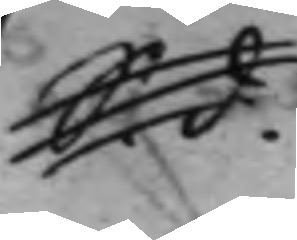S. d. 
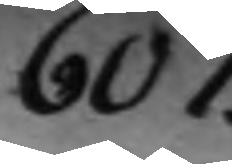607.
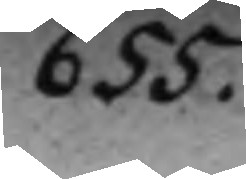655.
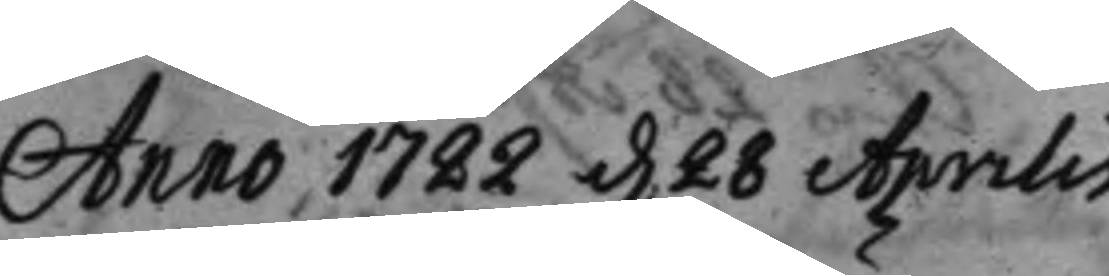Anno 1722 d. 28 Aprilis.
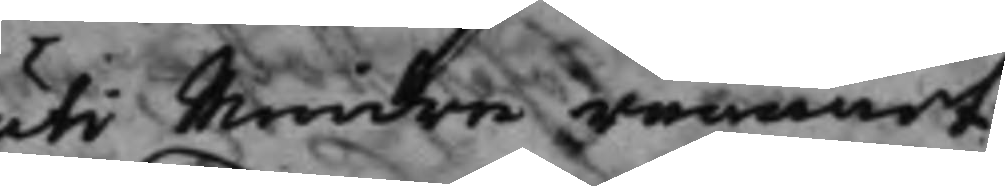uti Mindre rummet.
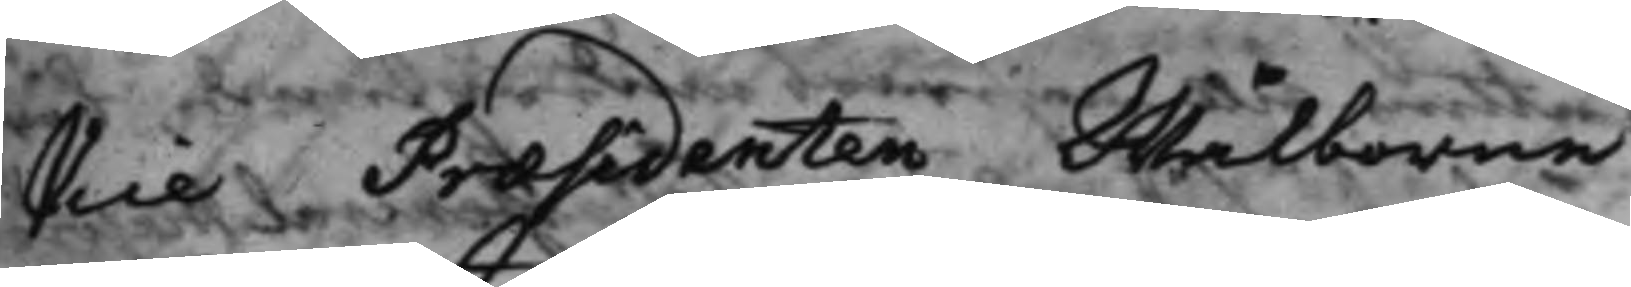Vice Præsidenten Wälborne
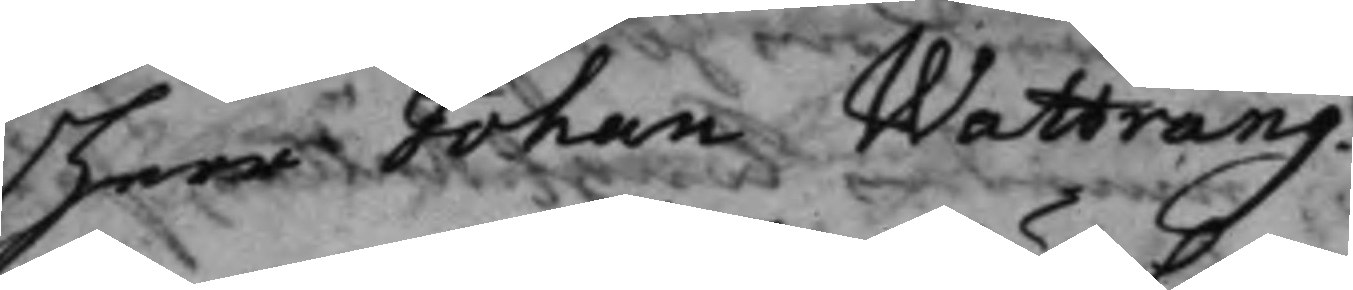Herr Johan Wattrang.
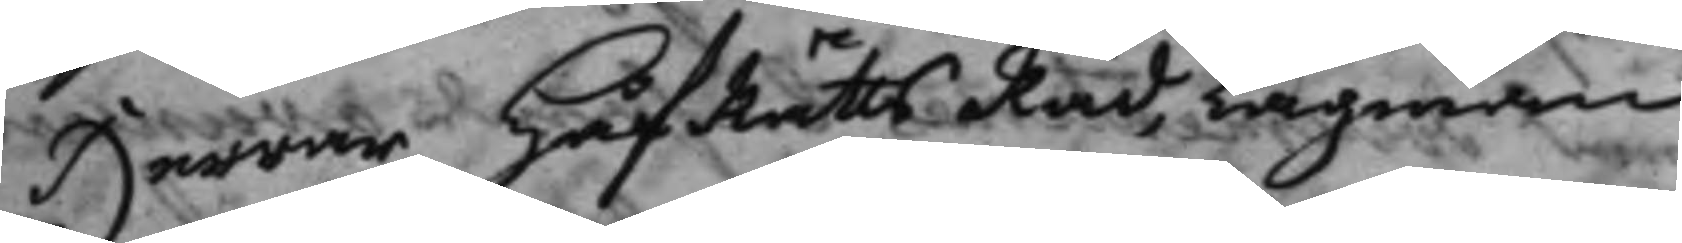Herrar HofRättsRåd, Lagman
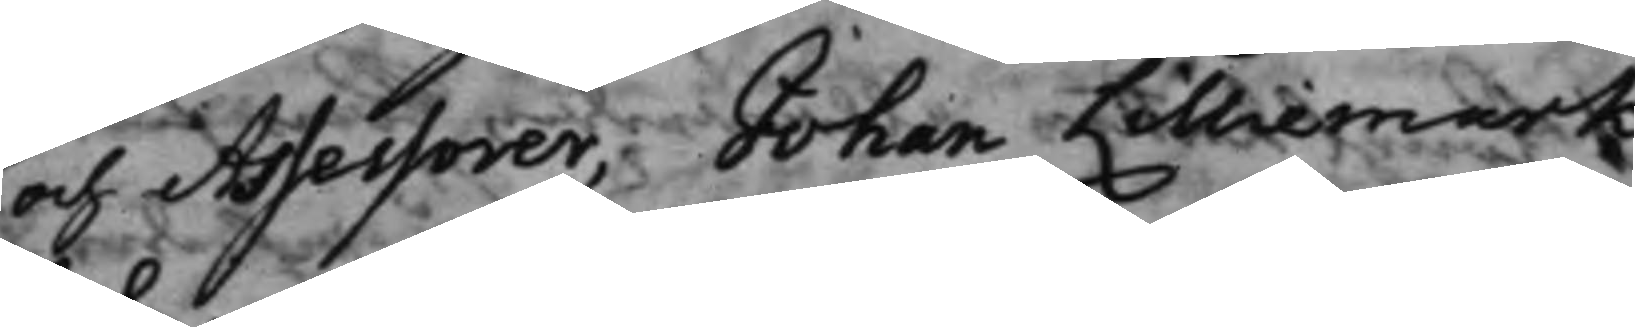och Assessorer, Johan Lilliemark,
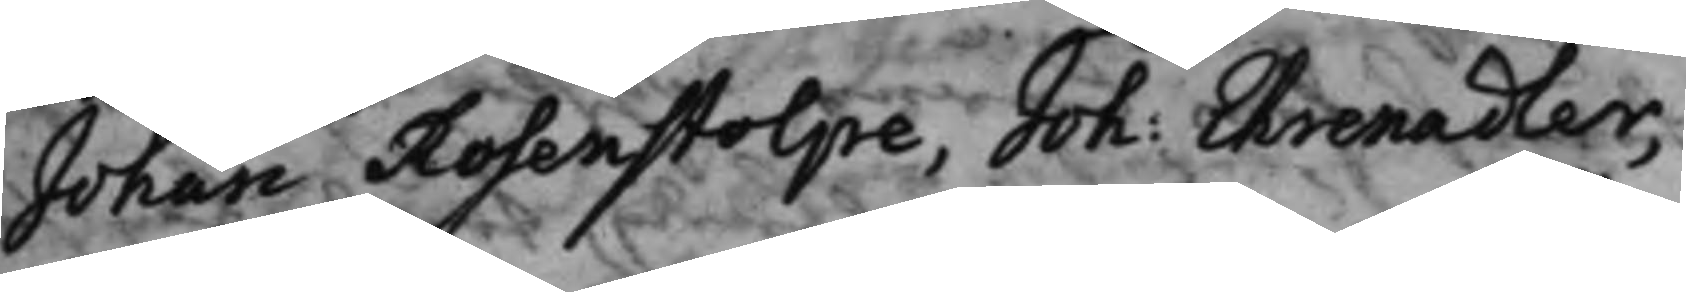Johan Rosenstolpe, Joh: Ehrenadler,
